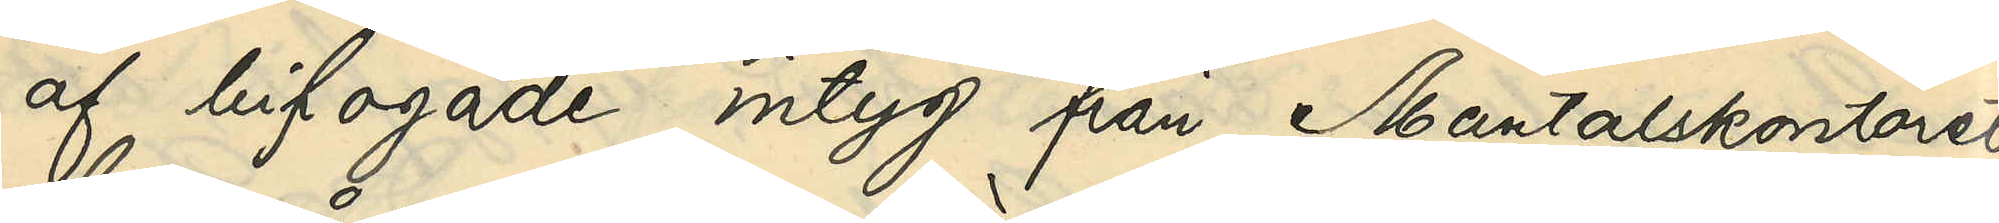af bifogade intyg från Mantalskontoret
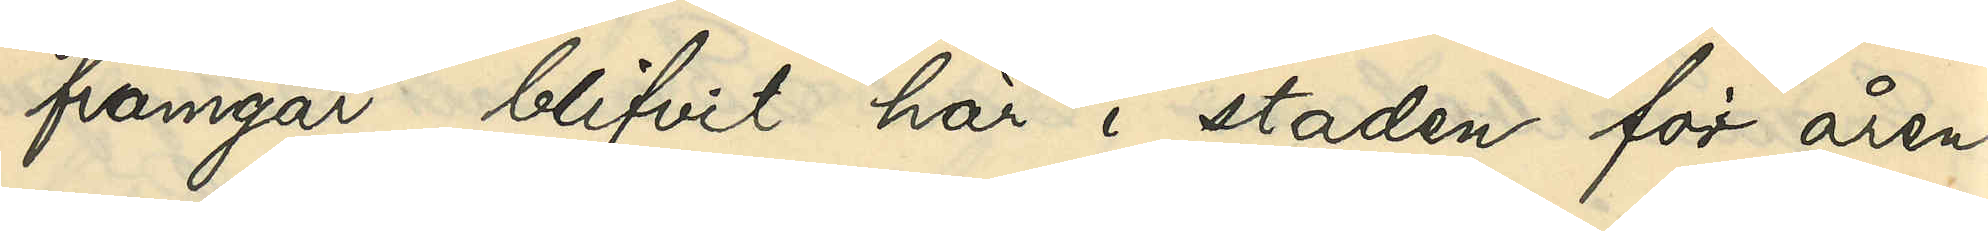framgår, blifvit här i staden för åren
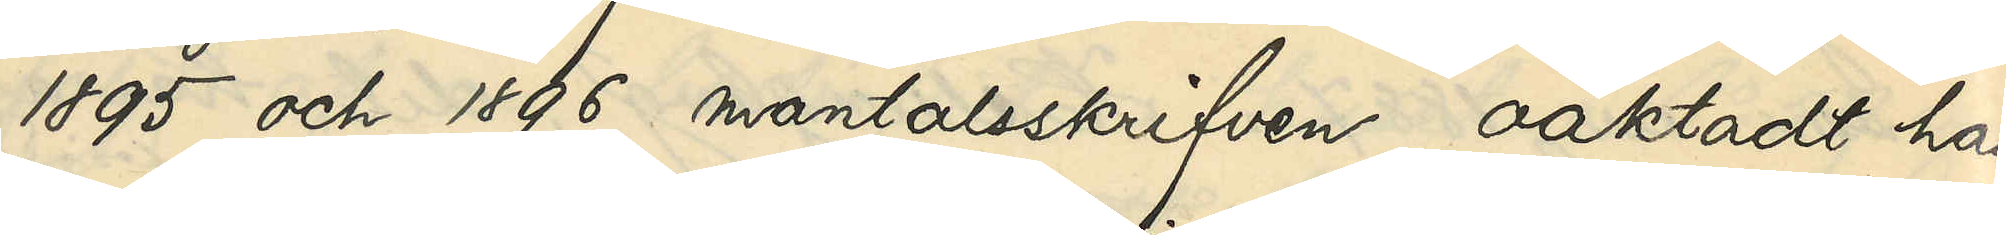1895 och 1896 mantalsskrifven, oaktadt han
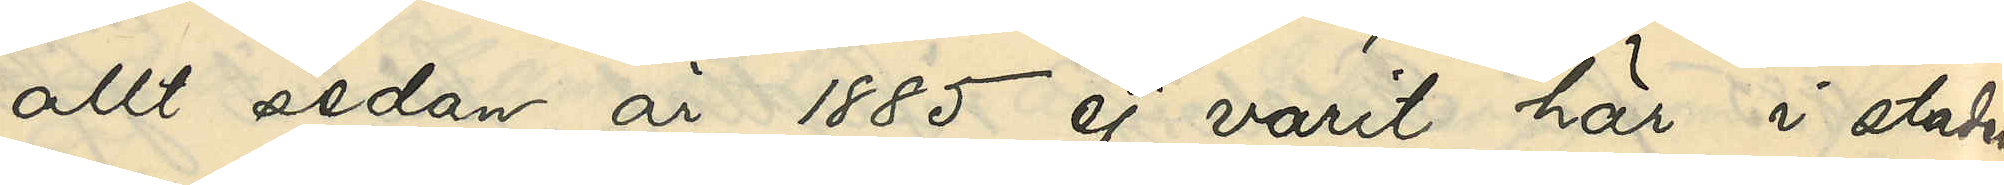allt sedan år 1885 ej varit här i staden
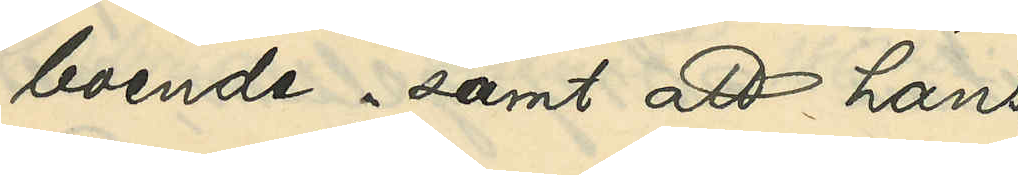boende, samt att hans
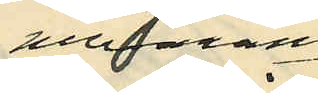nuvarande
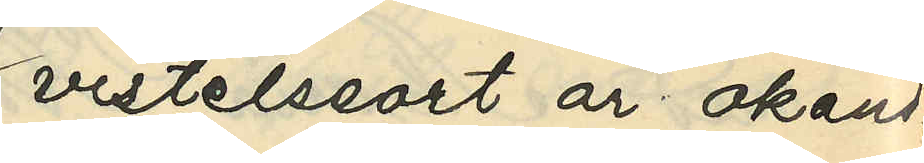vistelseort är okänd.
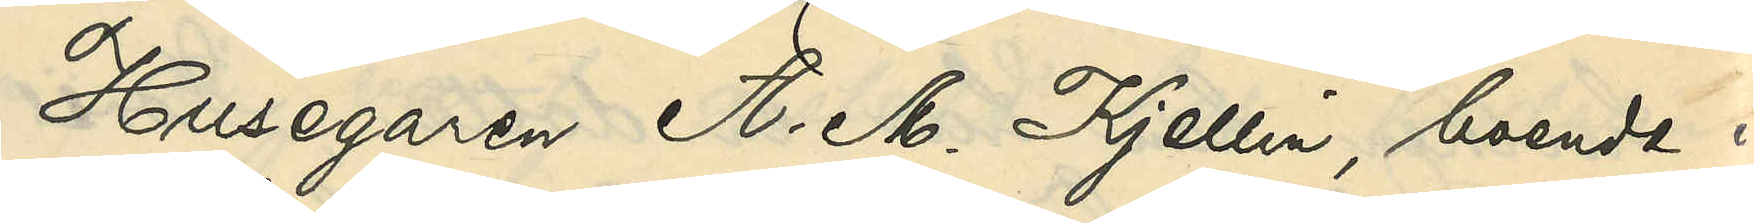Husegaren A. M. Kjellin, boende i
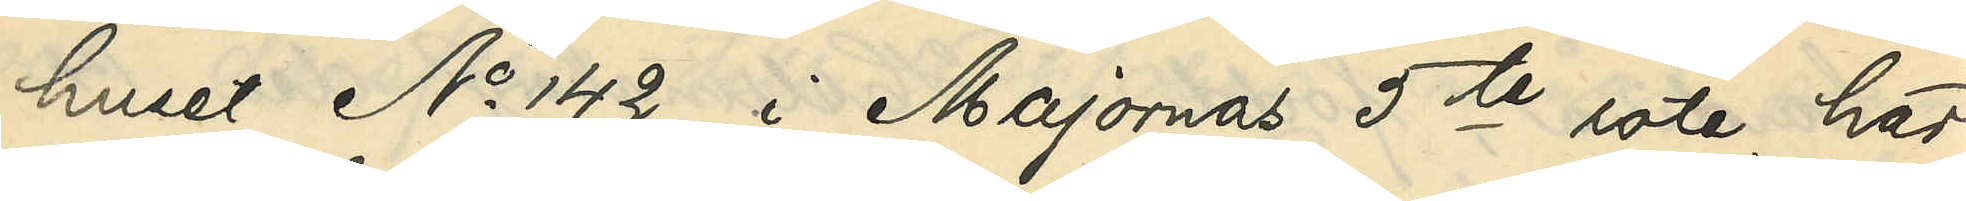huset No 142 i Majornas 5te rote, har
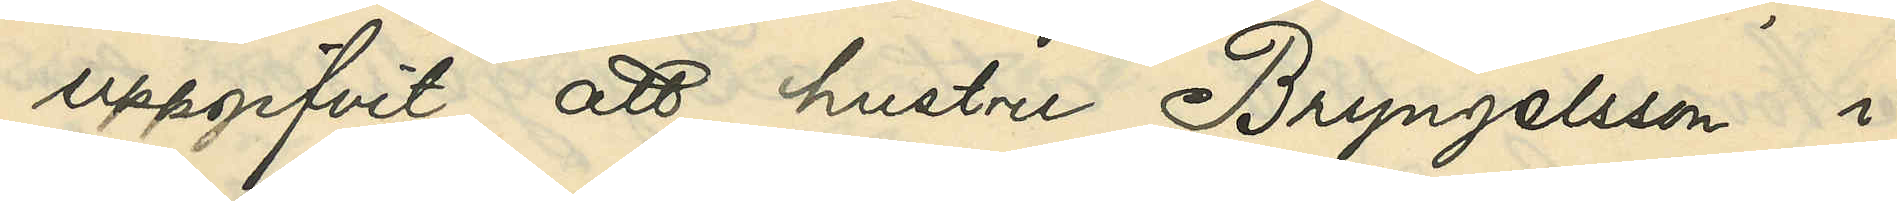uppgifvit, att hustru Bryngelsson i
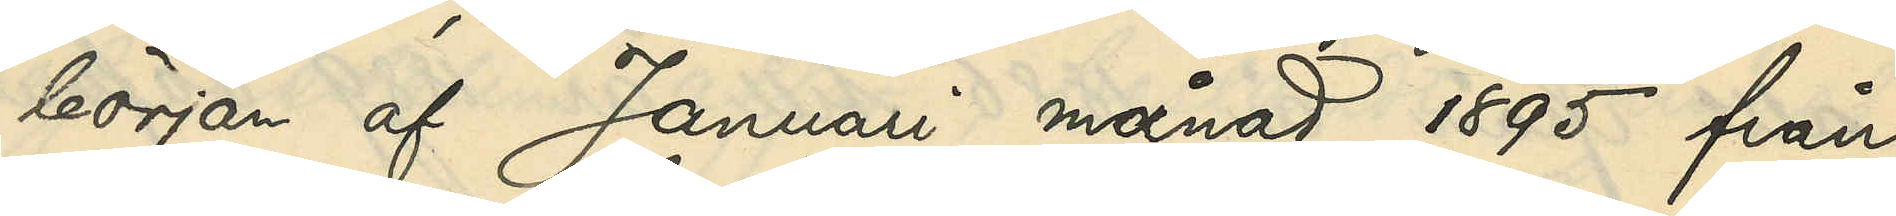början af Januari månad 1895 från
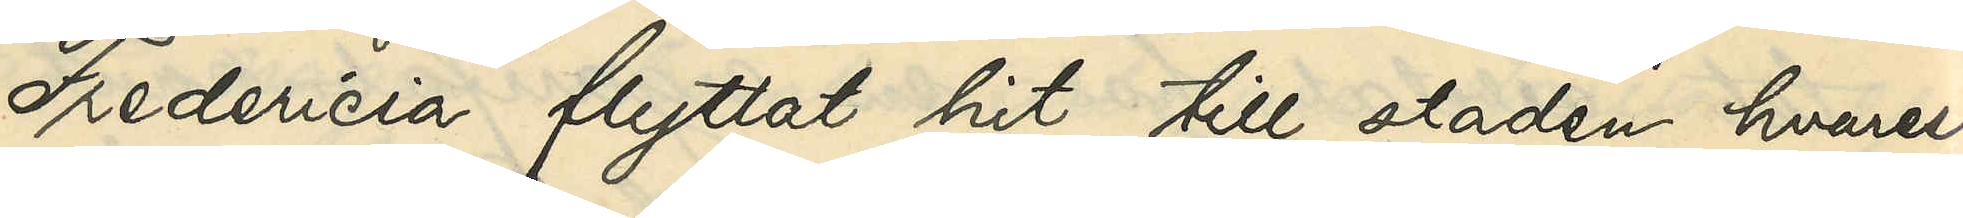Fredericia flyttat hit till staden, hvarest
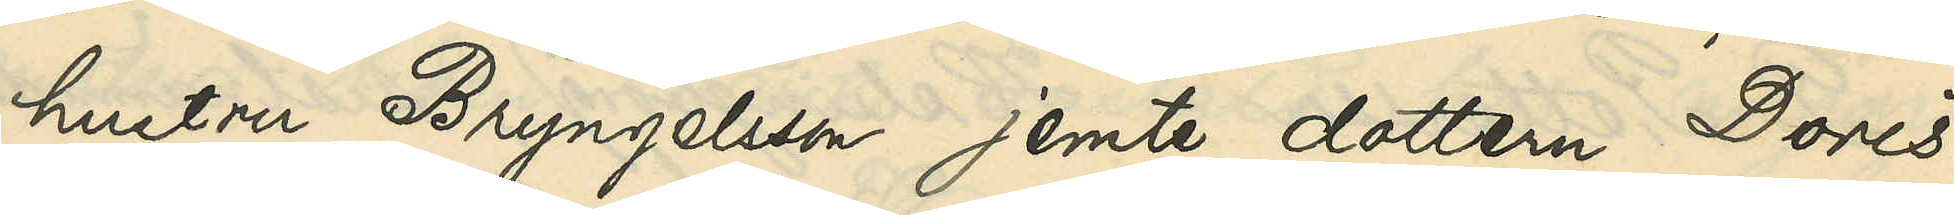hustru Bryngelsson jemte dottern Doris
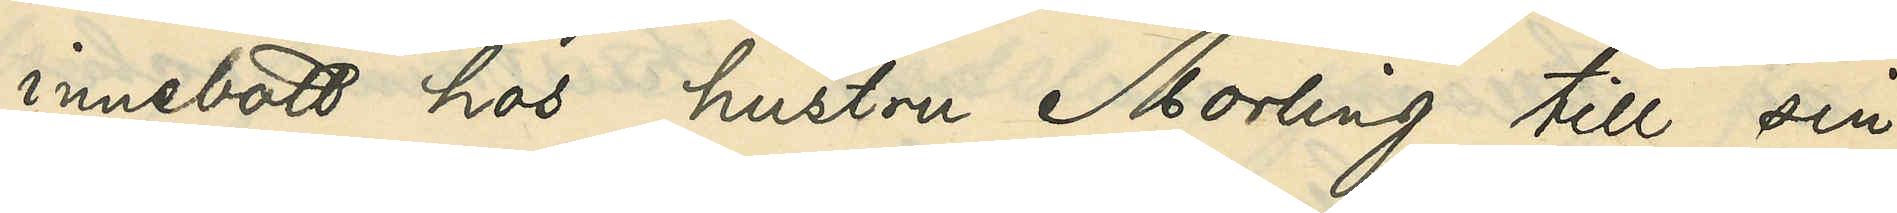innebott hos hustru Norling till sin
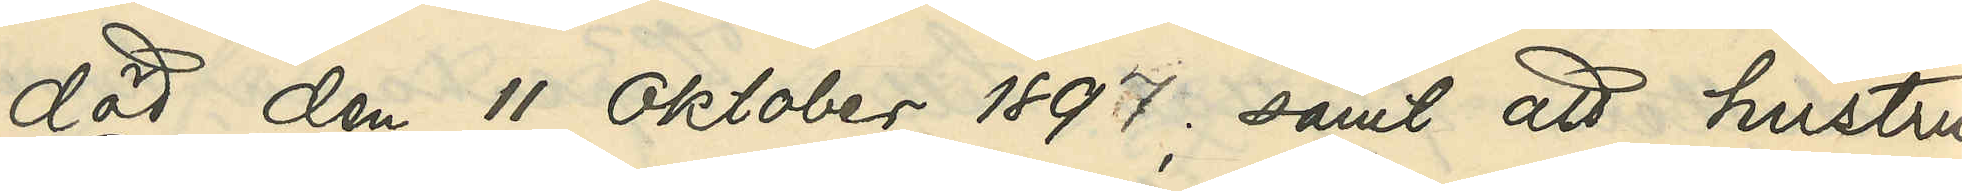död den 11 Oktober 1897; samt att hustru
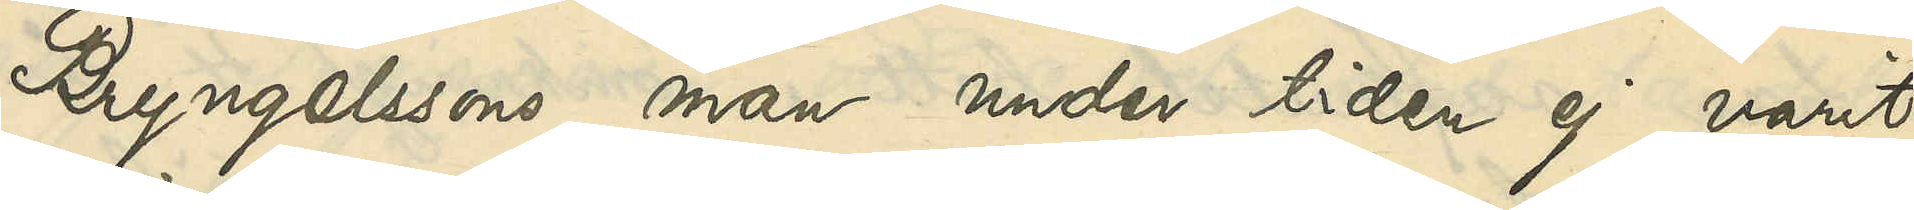Bryngelssons man under tiden ej varit
